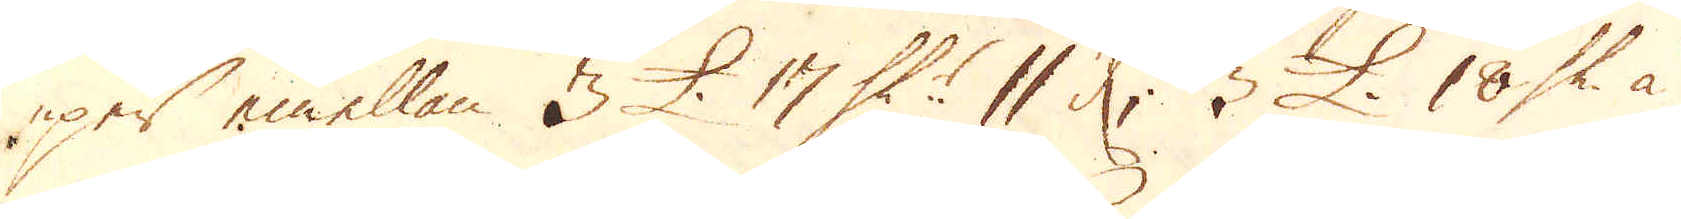per emellan 3 £. 17 Sk:r 11 d. 3 £. 18 Sk: à
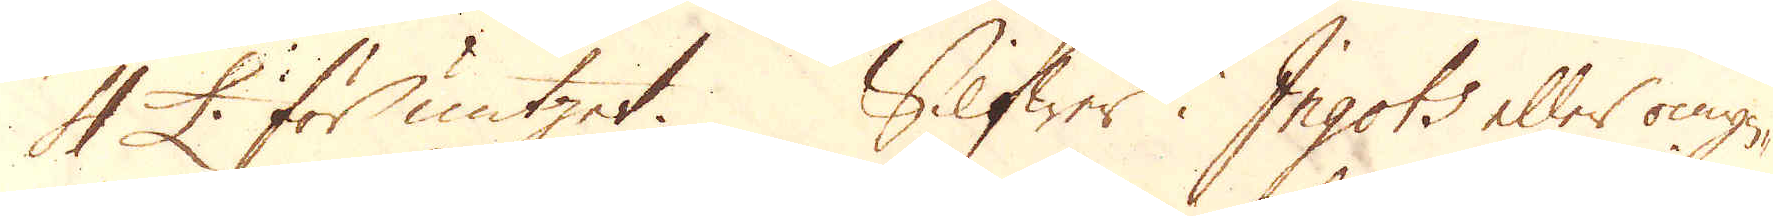4 £ för untzet. Silfwer i Ingots eller myn-
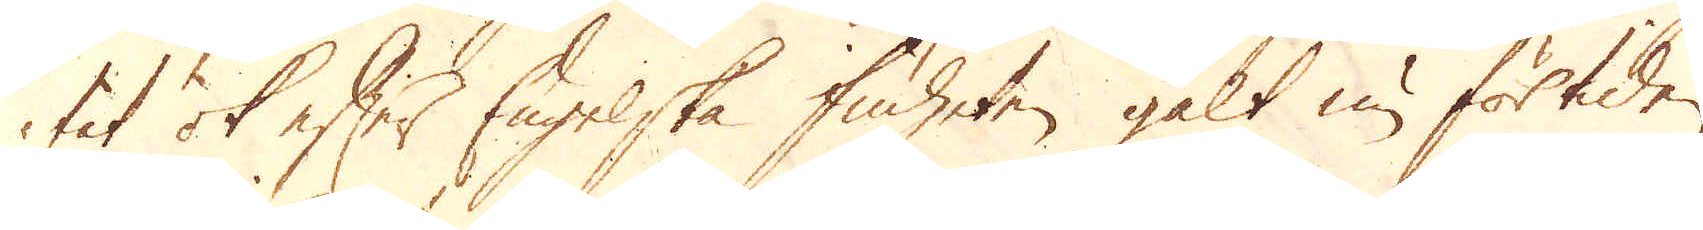tet ok efter Engelska finheten gelt nu för tiden,
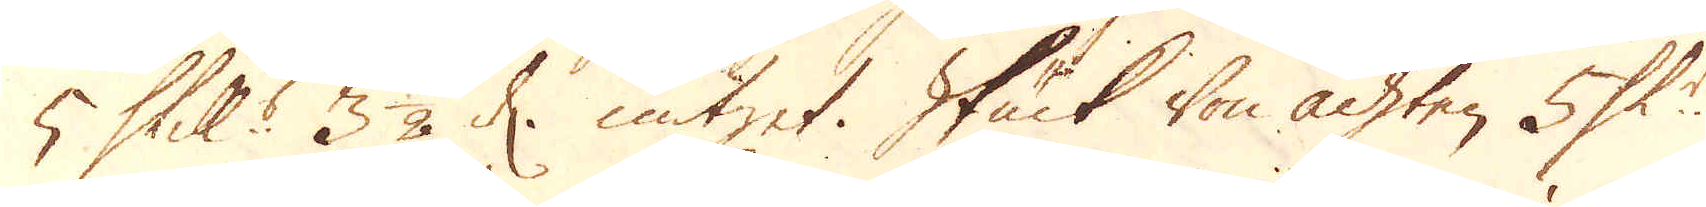5 Skill:r 3 1/2 d. untzet. Stäck hon achten 5 Sk:r
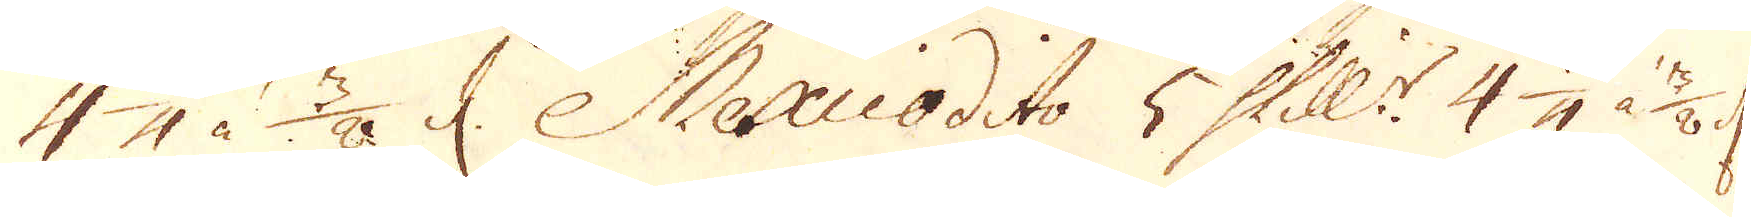4 1/4 à 3/8 d. Mexico dito 5 Skill:r 4 1/4 à 3/8 d.
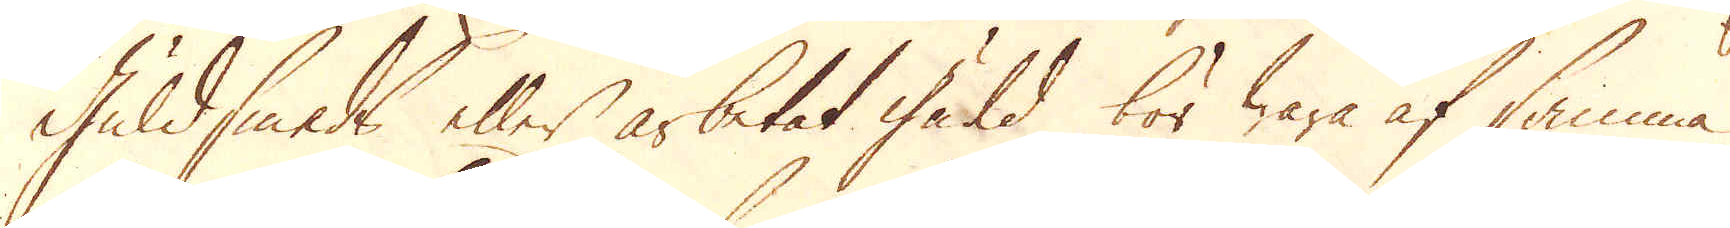Guldsmeds eller arbetat guld bör wara af samma
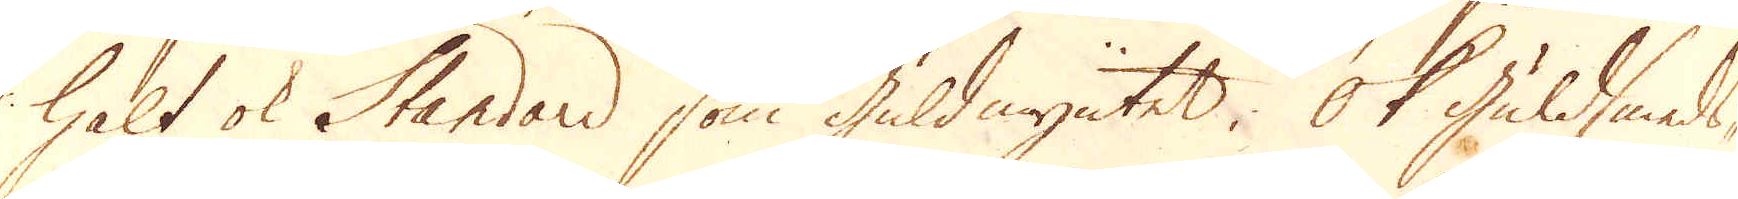halt ok Standard som guld myntet; Ok guldsmeds-
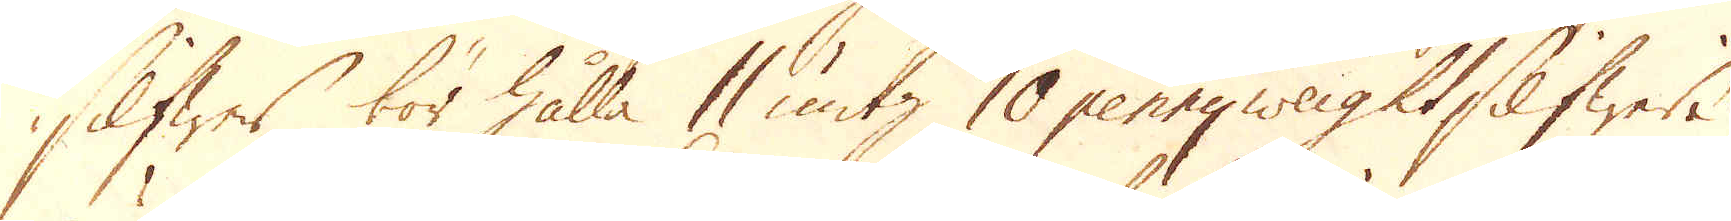Silfwer bör hålla 11 untz 10 pennyweight Silfwere
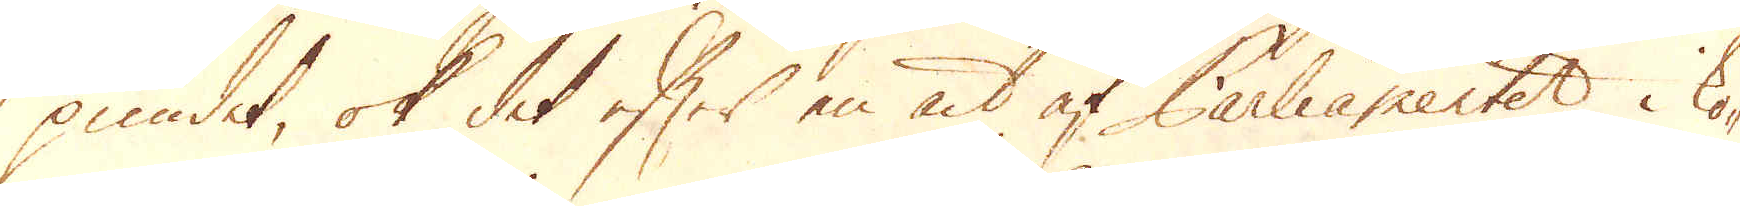pundet, ok det efter en at af Parliamentet i ko-
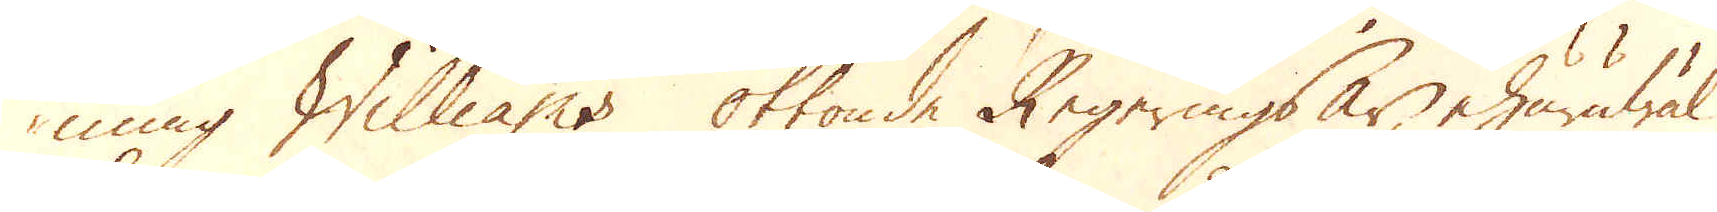nung Williams ottonde Regerings år, ehuruwäl
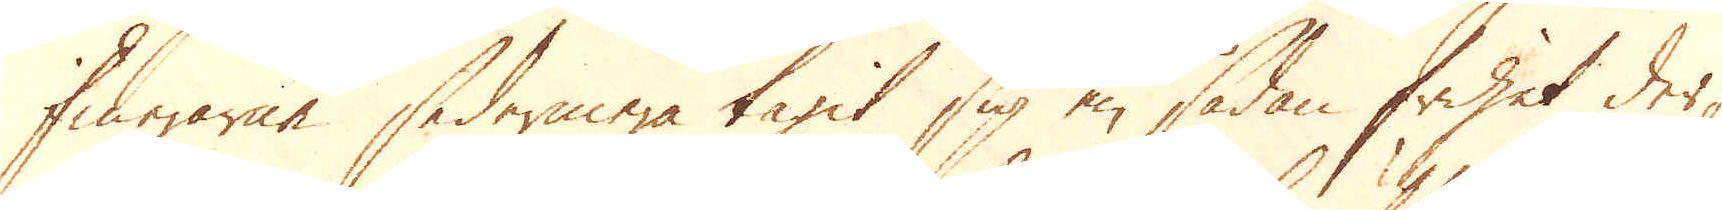finerarne sedermera tagit sig en sådan frihet der-
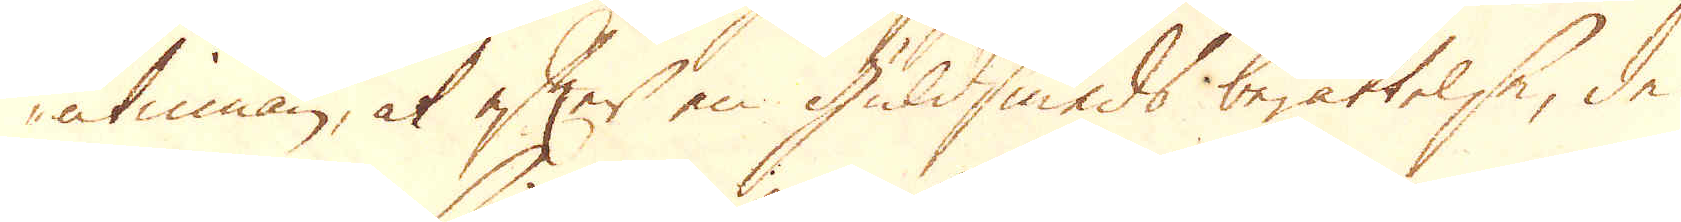utinnan, at efter en guldsmeds berättelse, de
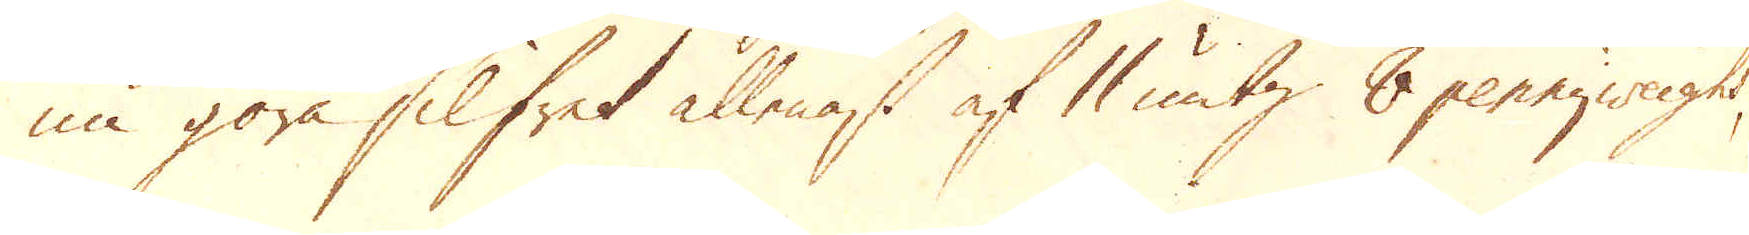nu göra Silfret allenast af 11 untz 8 pennyweight,
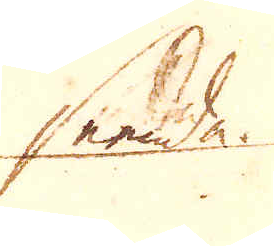seende
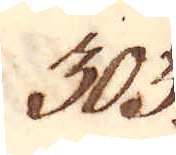303.
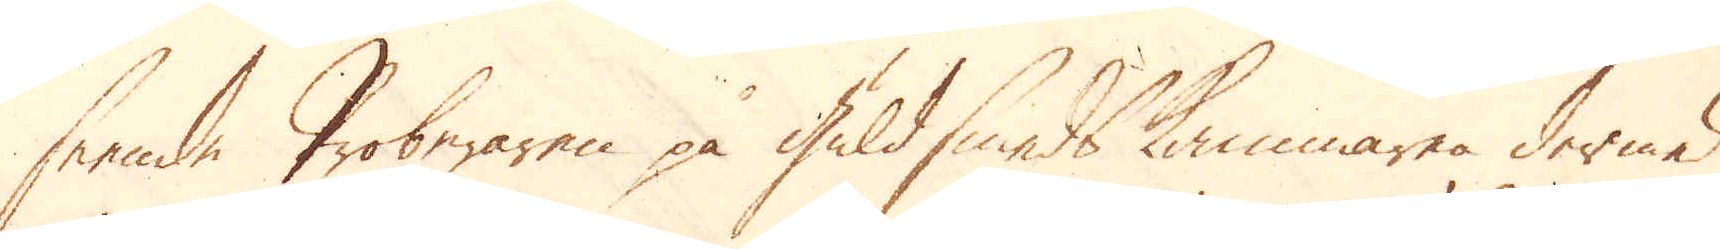seende Proberaren på guldsmedskammare dermed
